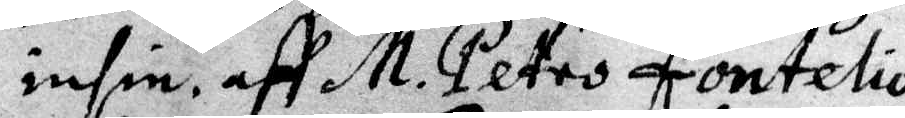insin. aff M. Petro Fontelio.
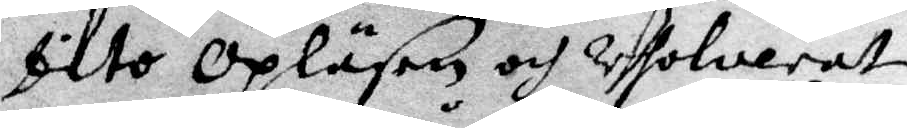Dito opläsen och resolwerat
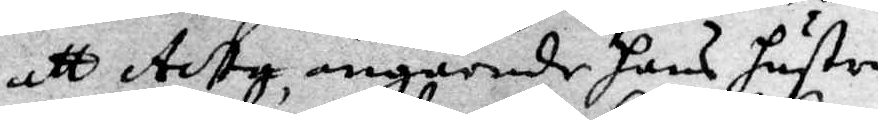att Acty angående hans hustru
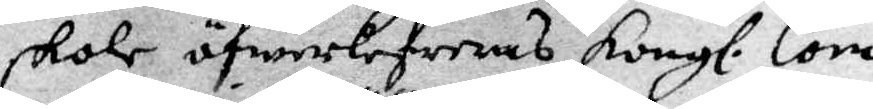skole öfwerlefereras Kongl. Com¬
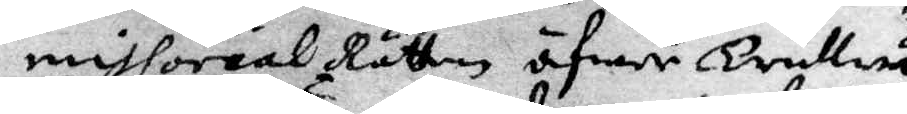missorial Rätten öfwer Trullwä¬
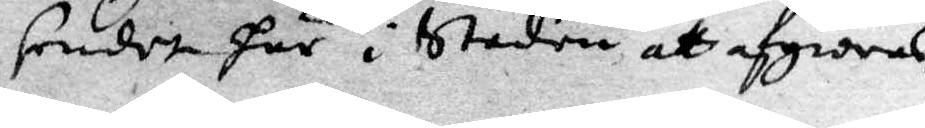sendet här i staden att afgiöras.
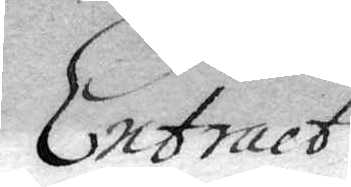Extract
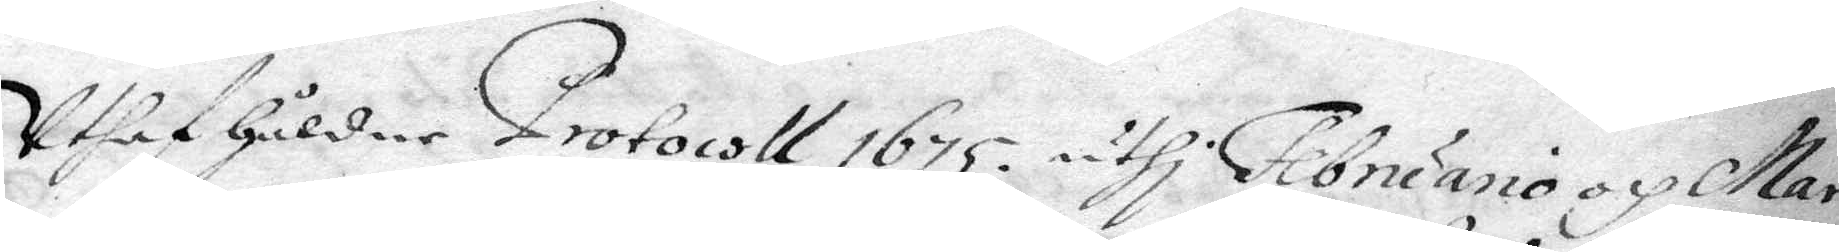utaf håldne Protocoll 1675 uthi Februario och Mar¬
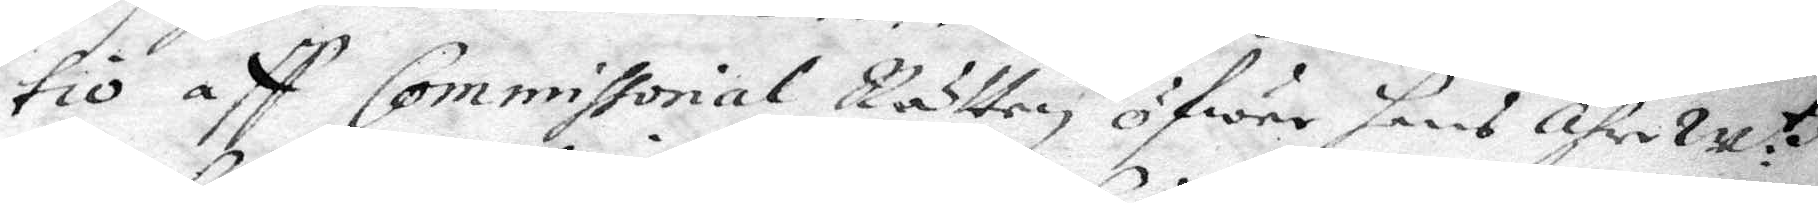tio aff Commissorial Rätten öfwer hans ährew:tz
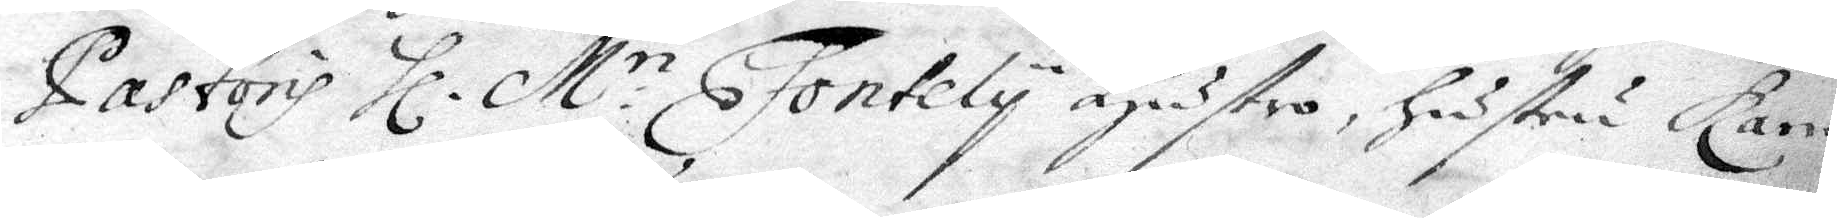Pastoris Hl. M.ri Fonteliy hustro, hustro Karin
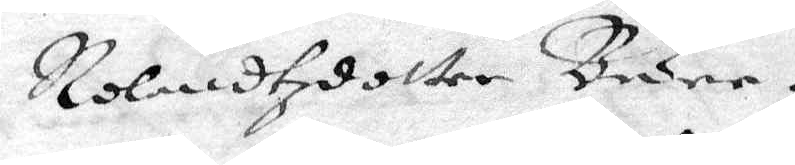Rolandzdotter Bure.
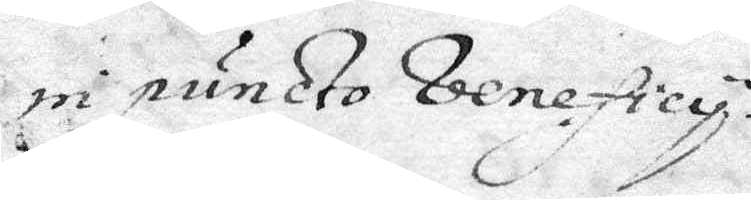in puncto beneficy.
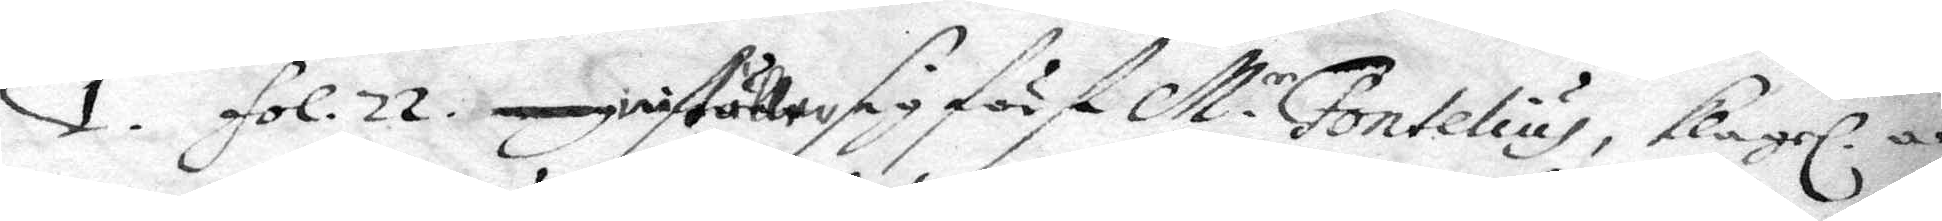1. fol. 22. Inställer sig först M.r Fontelius, klagerl. an¬
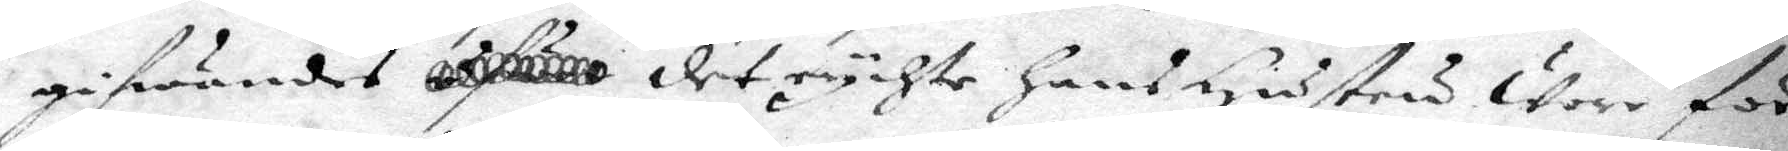gifwandes det rychte hans hustru wore för
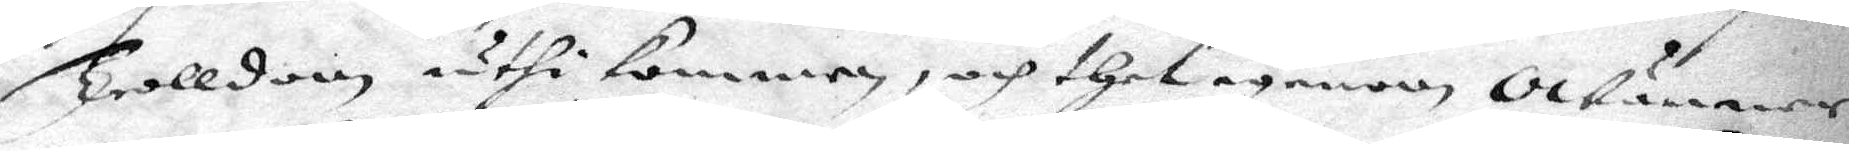Trolldom uthi kommen, och thet igenom Owänner
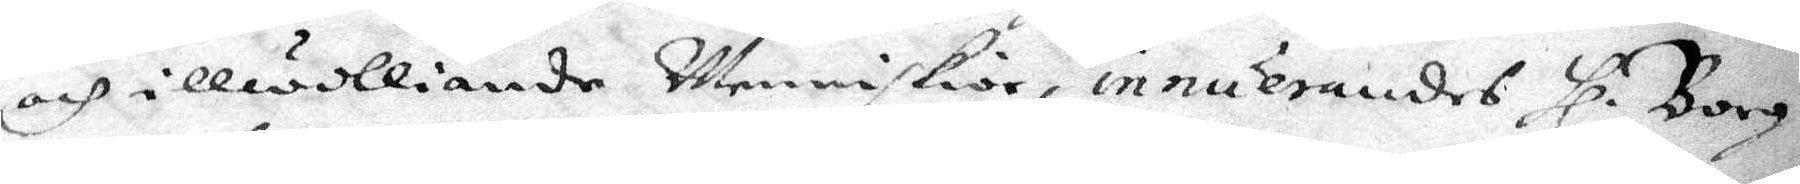och illwilliande Menniskior innuerandes Hl. Borg¬
